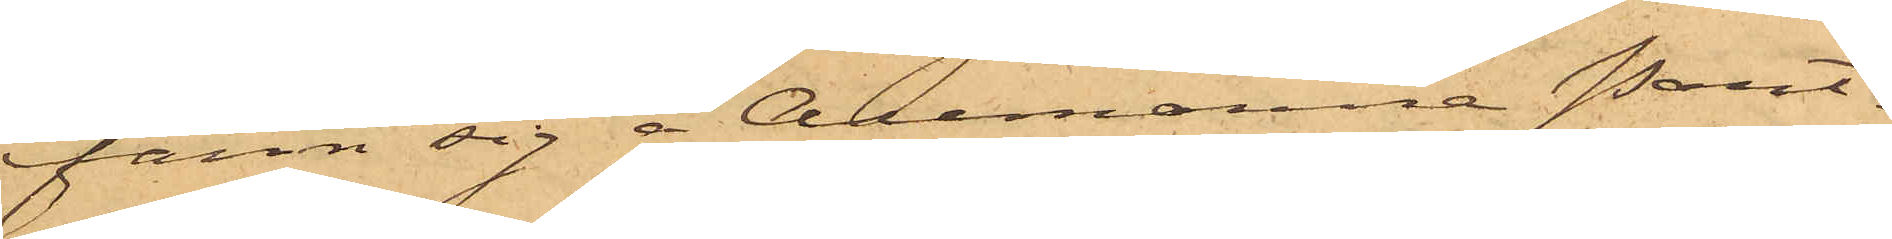fann sig å Allmänna Pant¬
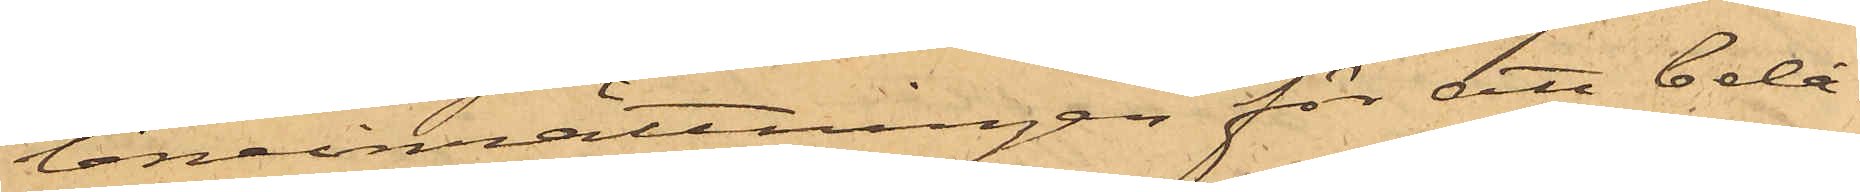låneinrättningen för att belå¬
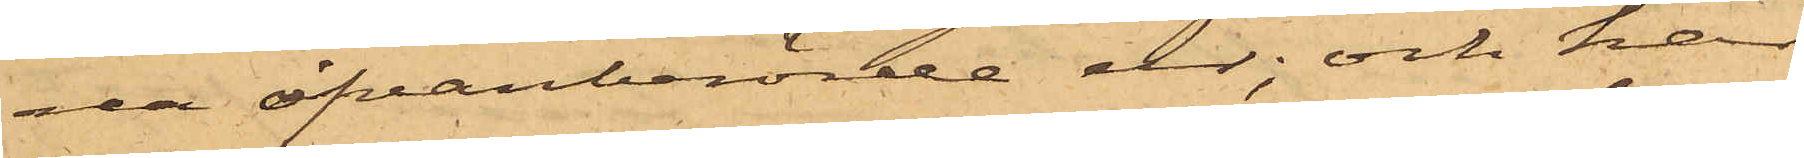na ofvanberörde ur; och har
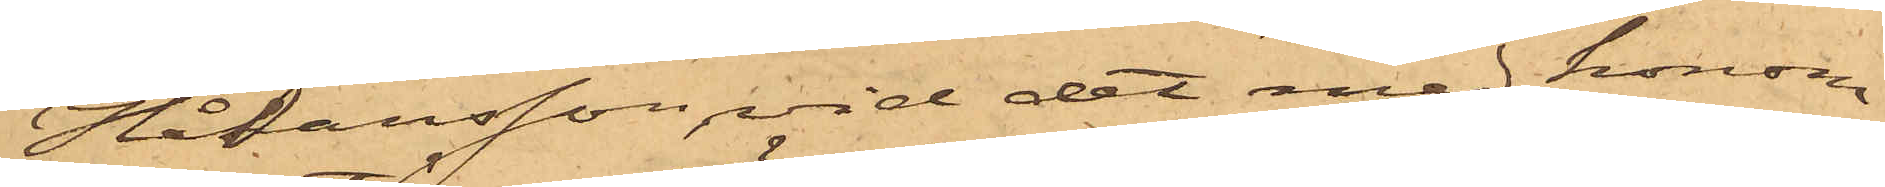Håkansson, vid det med honom
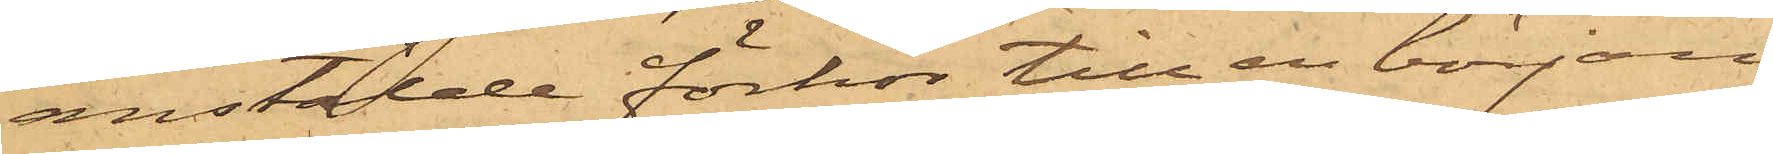anstälde förhör till en början
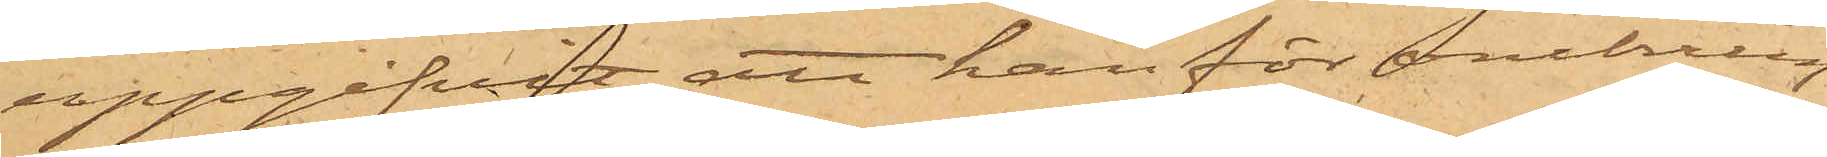uppgifvit att han för omkring
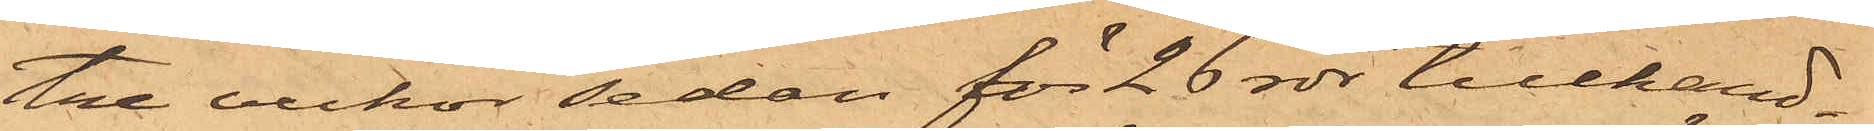tre veckor sedan för 26 rdr tillhand¬
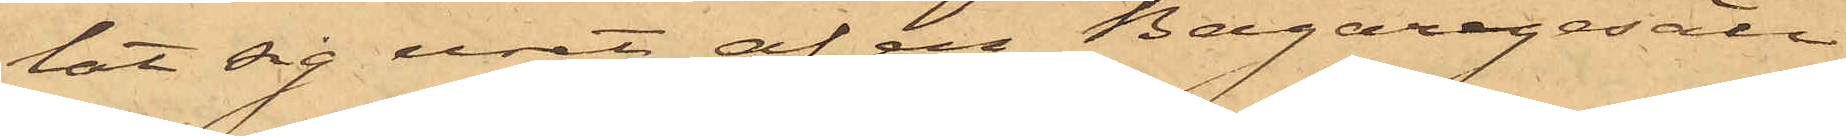lat sig uret af en Bagaregesäll
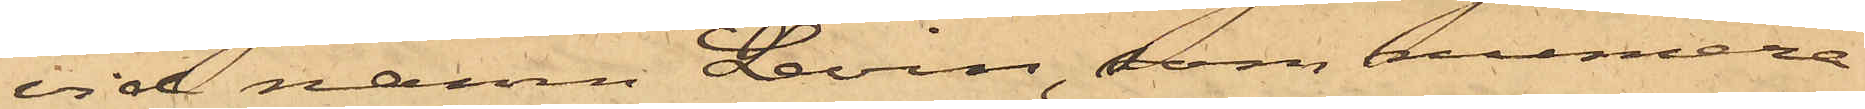vid namn Levin, som numera
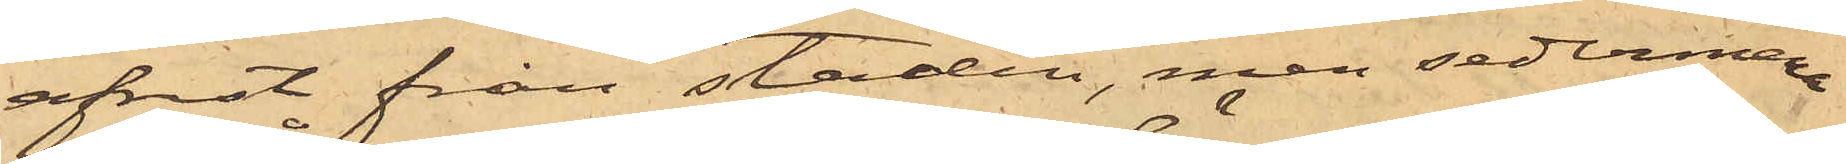afrest från staden, men sedermera
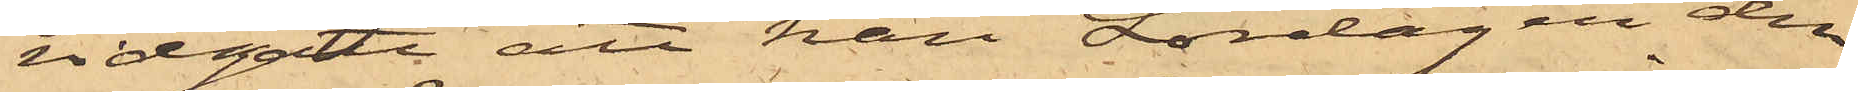vidgått att han Lördagen den
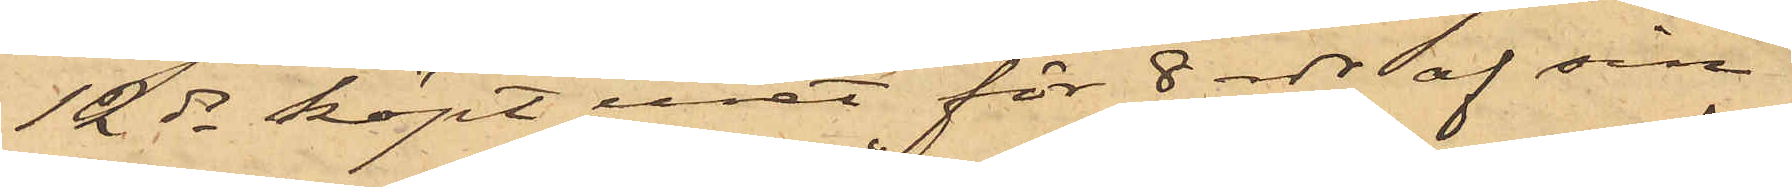12 ds köpt uret för 8 rdr af sin
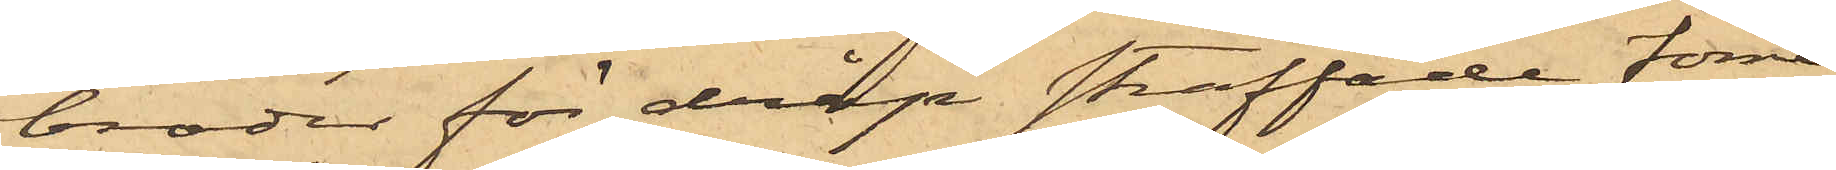broder för dråp straffade förre
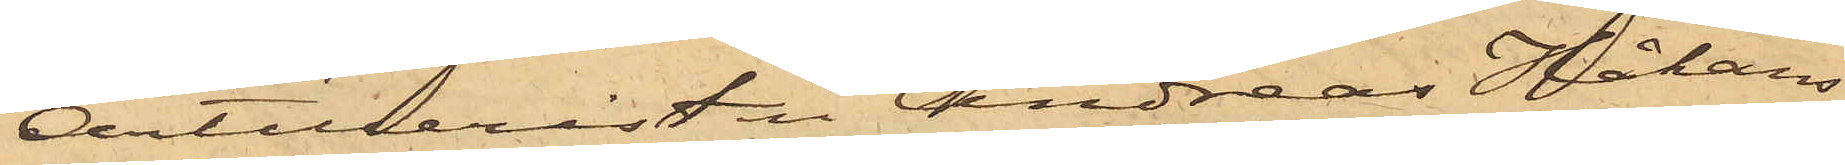Artilleristen Andreas Håkans¬
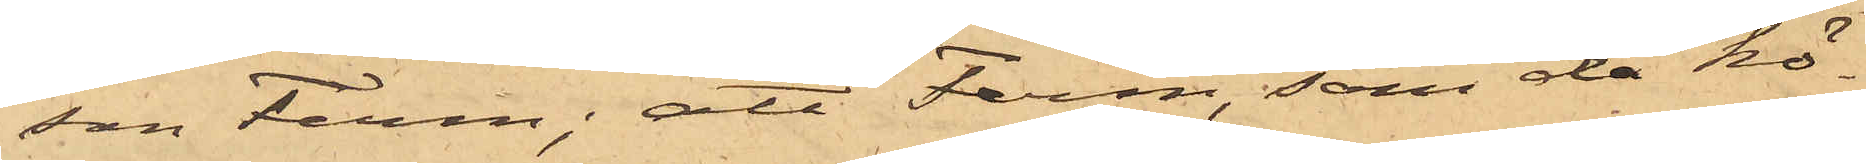son Ferm; att Ferm, som då kö¬
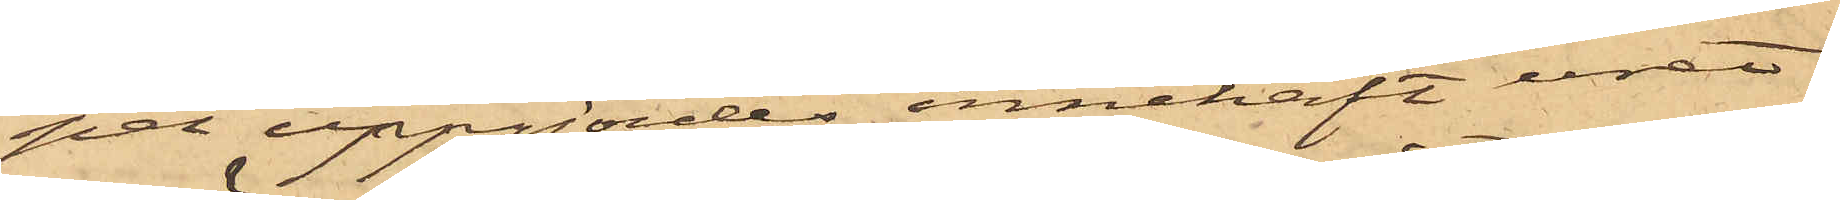pet uppgjordes innehaft uret
